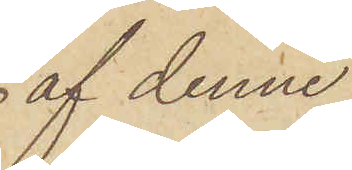 af denne
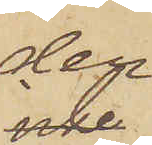der
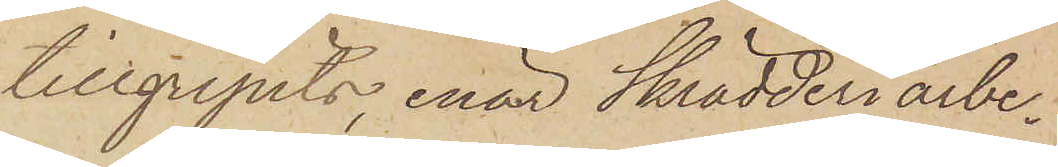tillgripits, enär Skrädderiarbe¬
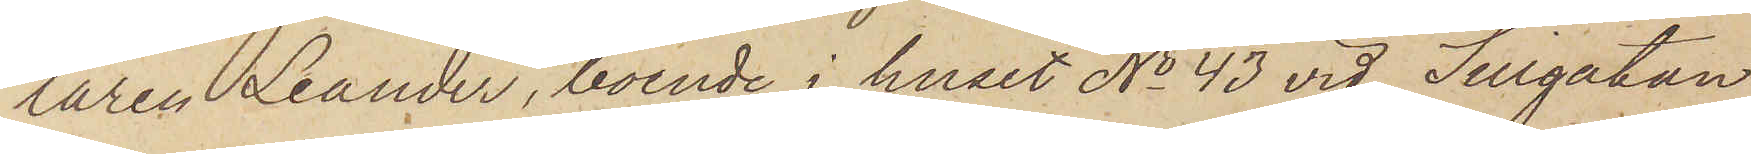laren Leander, boende i huset No 43 vid Sillgatan
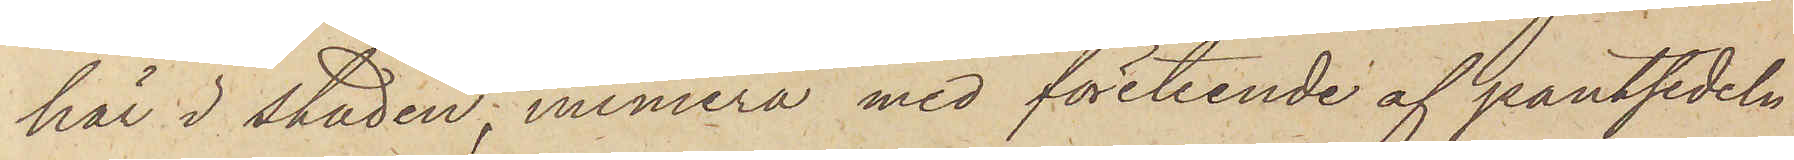här i staden, numera med företeende af pantsedeln
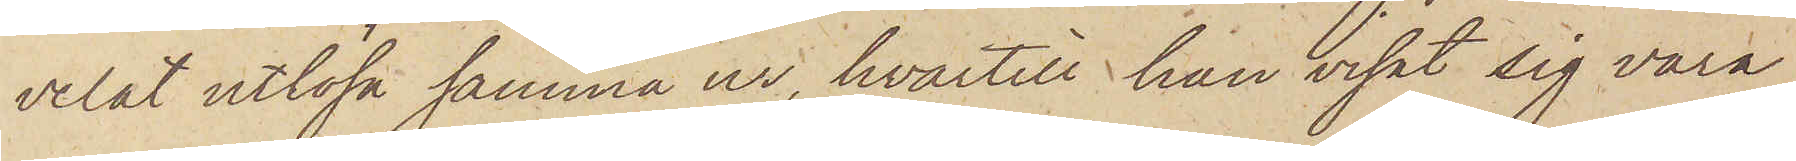velat utlösa samma ur, hvartill han visat sig vara
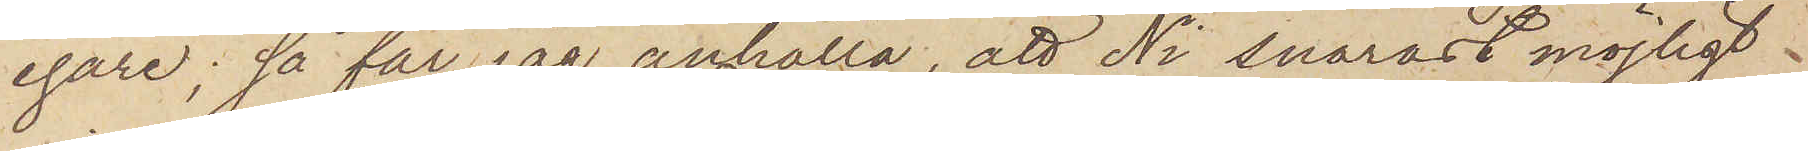egare; så får jag anhålla, att Ni snarast möjligt
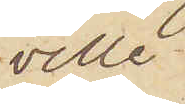ville
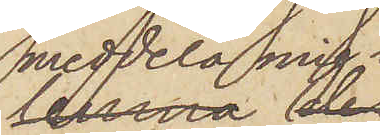meddela mig
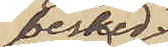besked
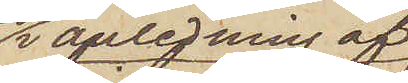i anledning af
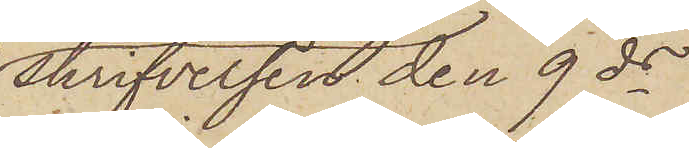skrifvelsen den 9 ds
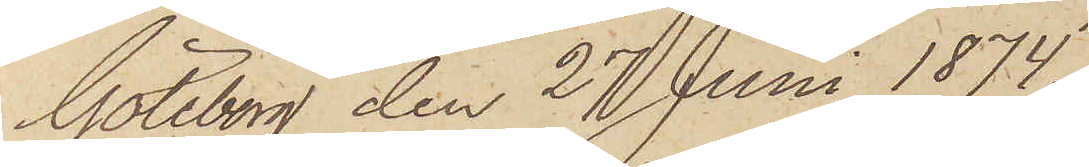Göteborg den 27 Juni 1874.
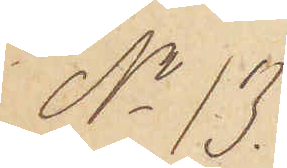No 13
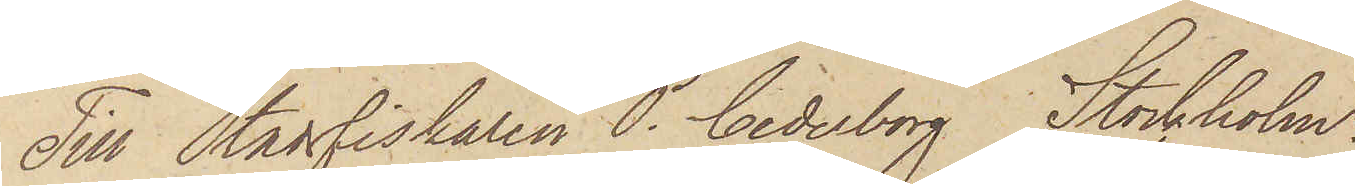Till Stadsfiskaren P. Cederborg Stockholm,
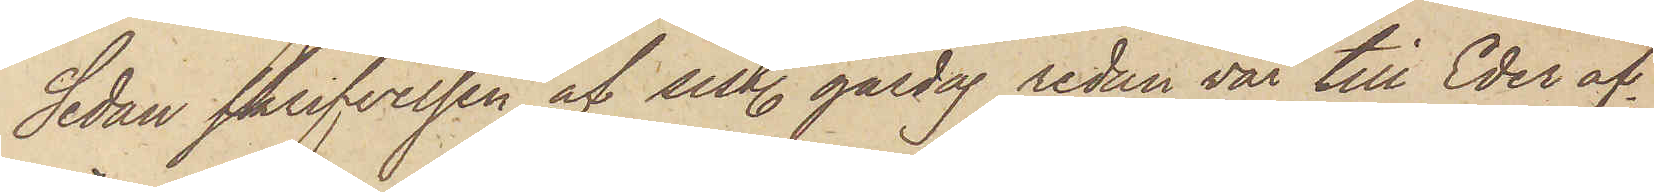Sedan skrifvelsen af sist. gårdag redan var till Eder af¬
